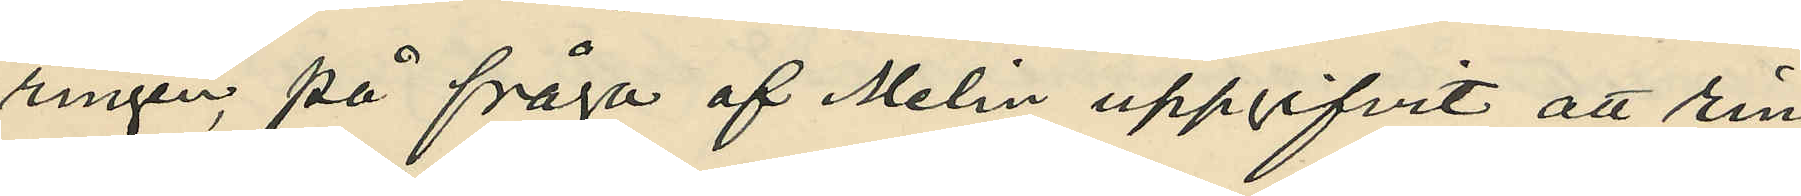ringen, på fråga af Melin uppgifvit att rin¬
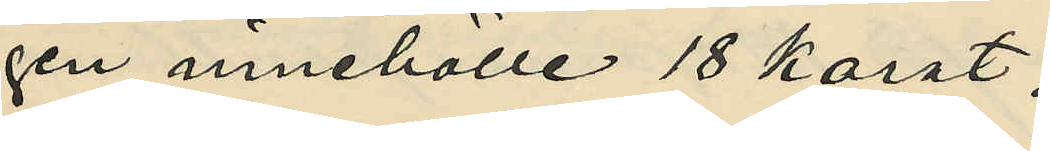gen innehölle 18 karat;
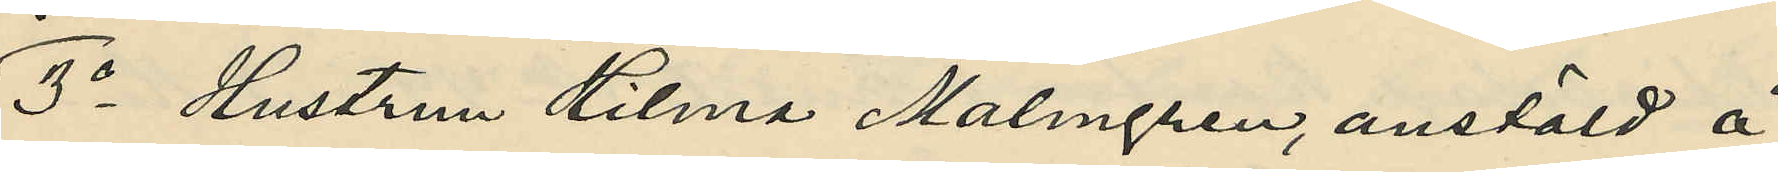3o Hustrun Hilma Malmgren, anstäld å
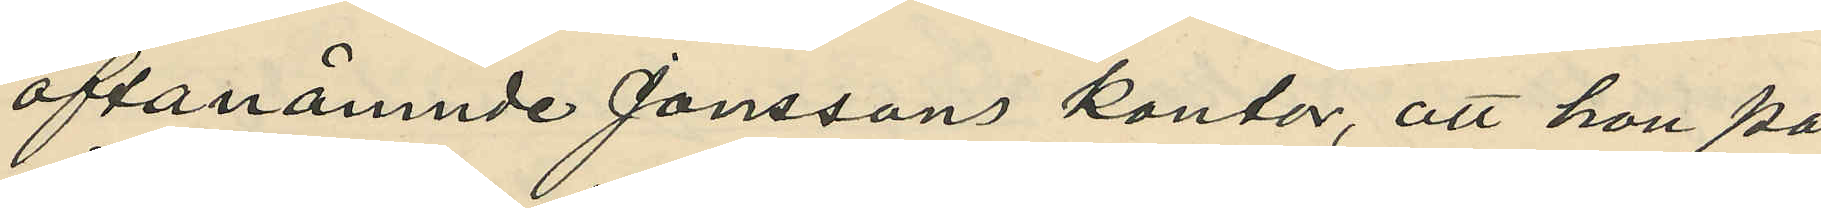oftanämnde Janssons kontor, att hon på
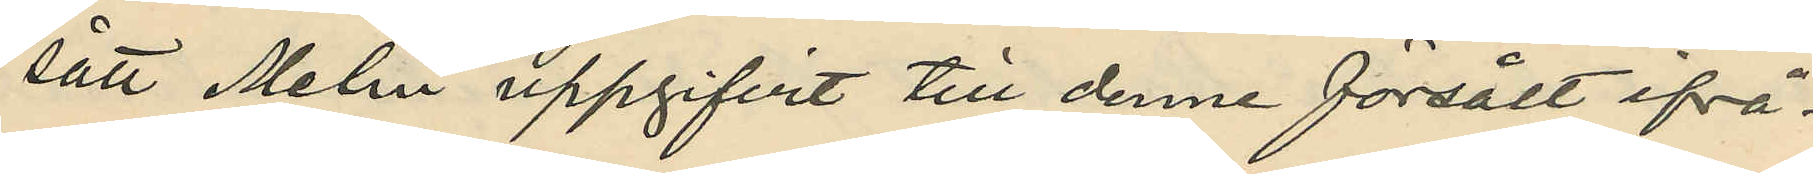sätt Melin uppgifvit till denne försålt ifrå¬
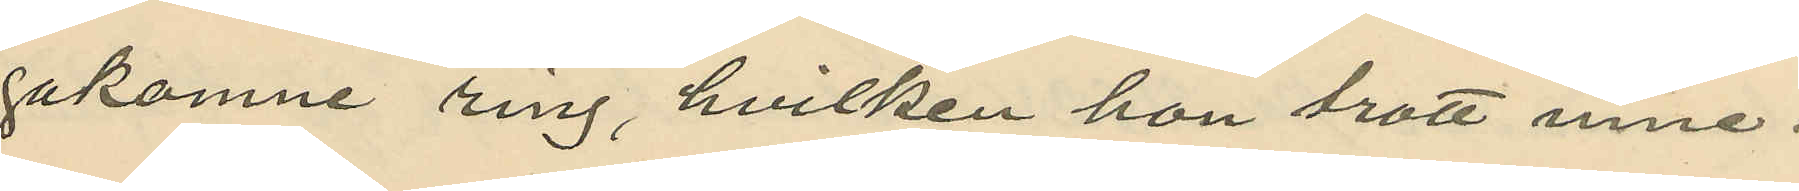gakomne ring, hvilken hon trott inne¬
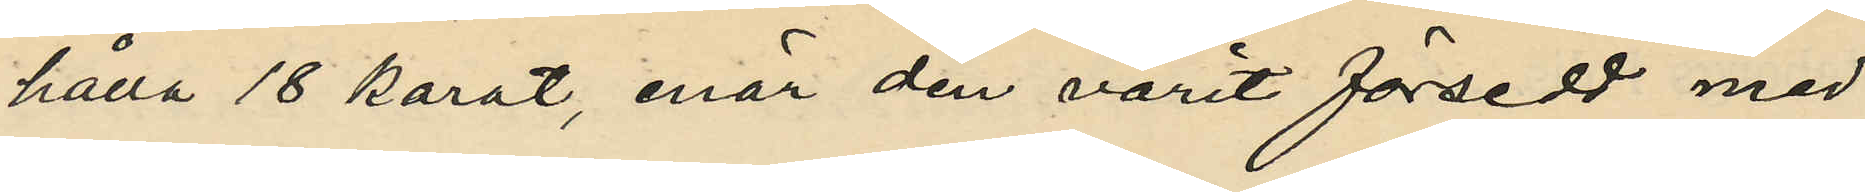hålla 18 karat, enär den varit försedd med
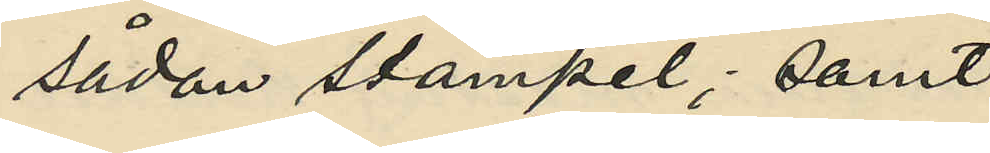sådan stämpel; samt
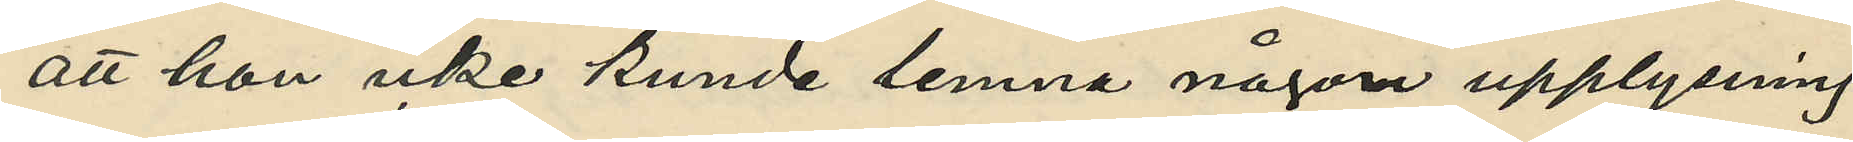att hon icke kunde lemna någon upplysning
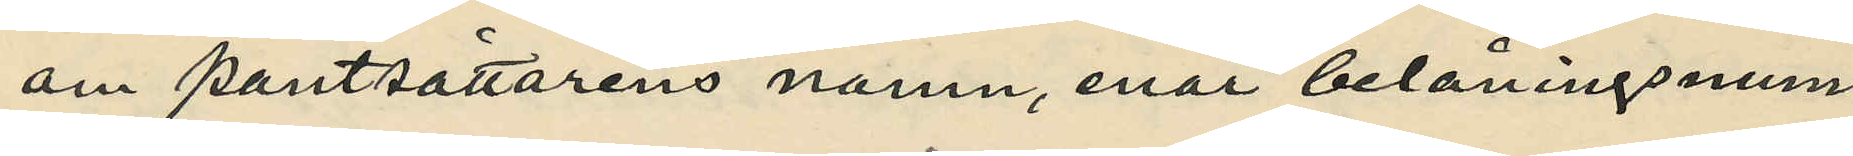om pantsättarens namn, enär belåningsnum¬
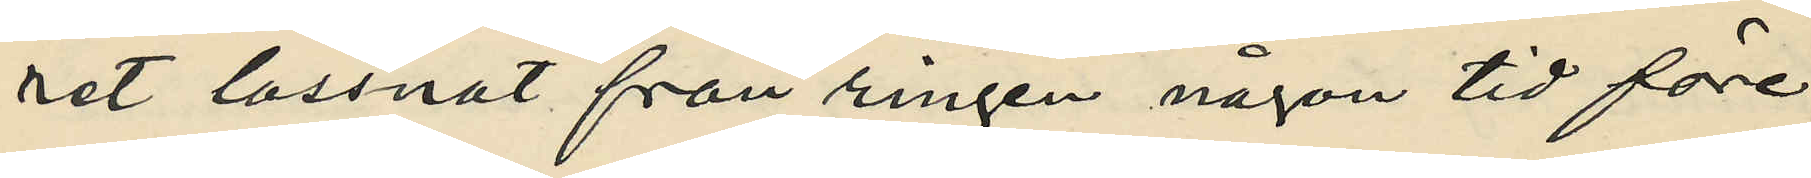ret lossnat från ringen någon tid före
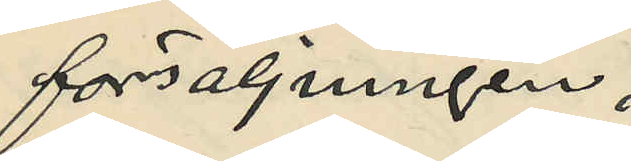försäljningen;
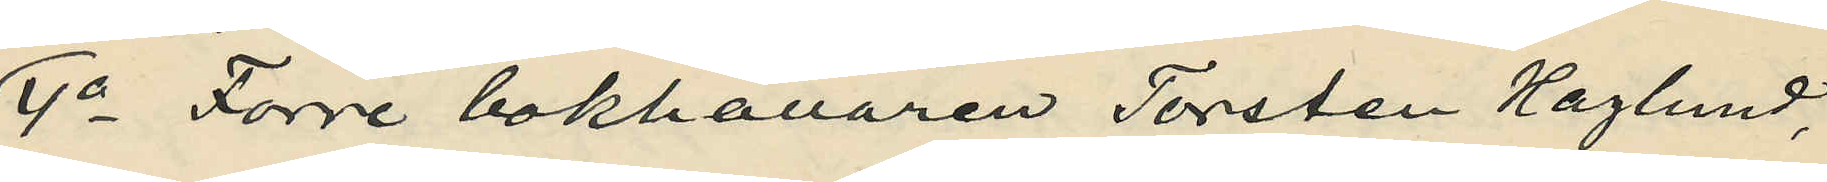4o Förre bokhållaren Torsten Haglund,
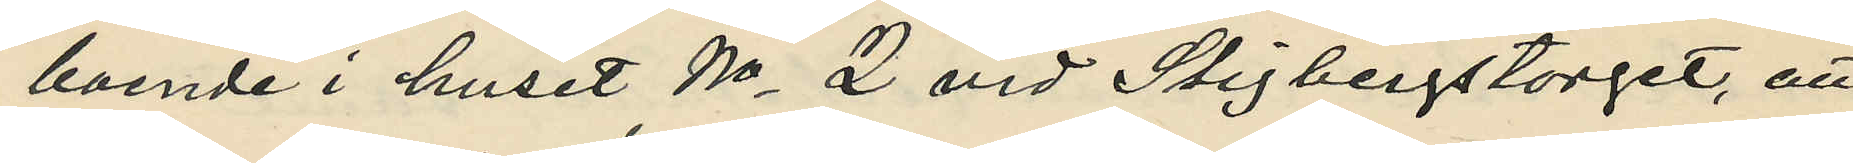boende i huset No 2 vid Stigbergstorget, att
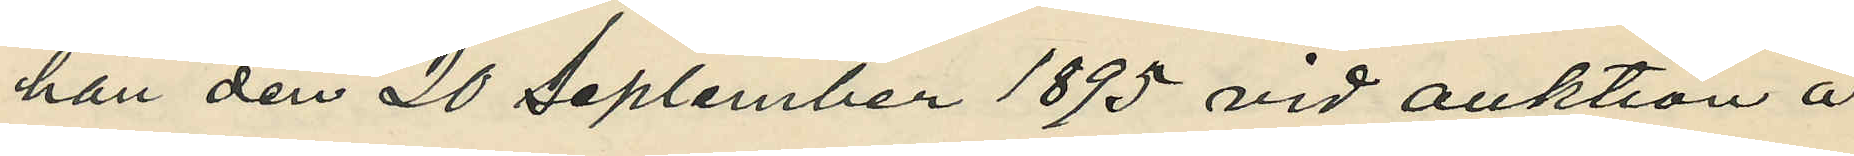han den 20 September 1895 vid auktion å
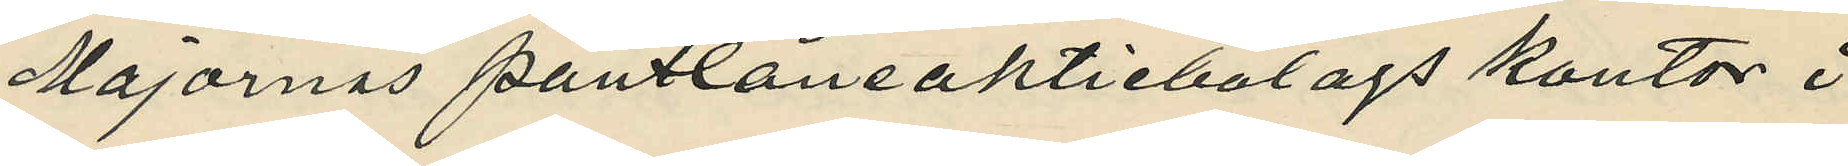Majornas pantlåneaktiebolags kontor i
